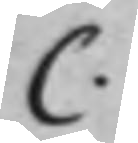C.
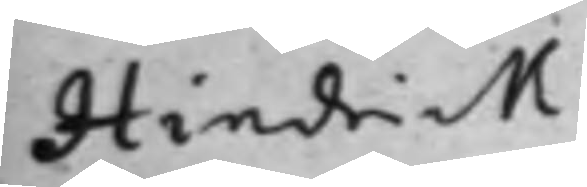Hindrick
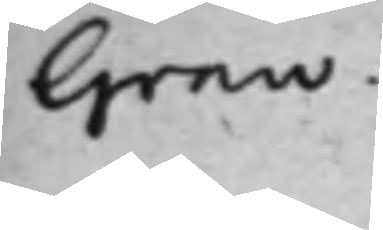Grau.
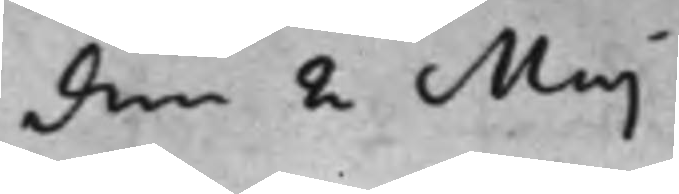den 2 Maj
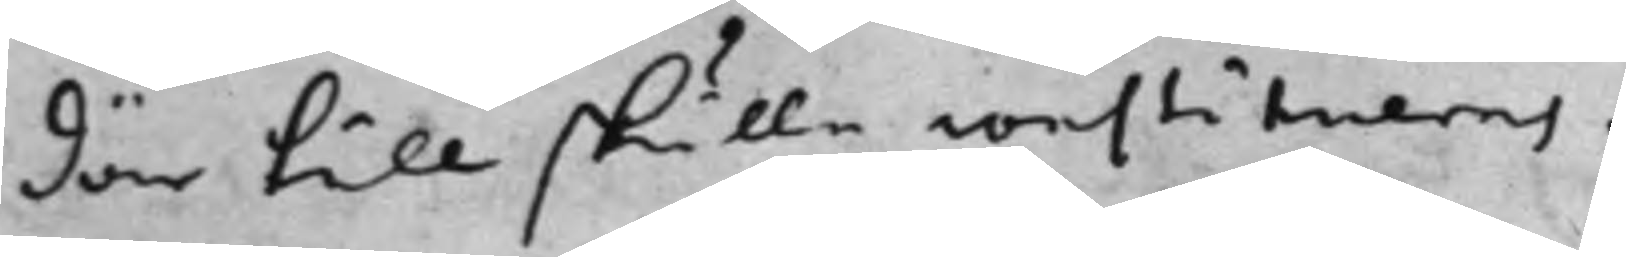där till skulle constitueras.
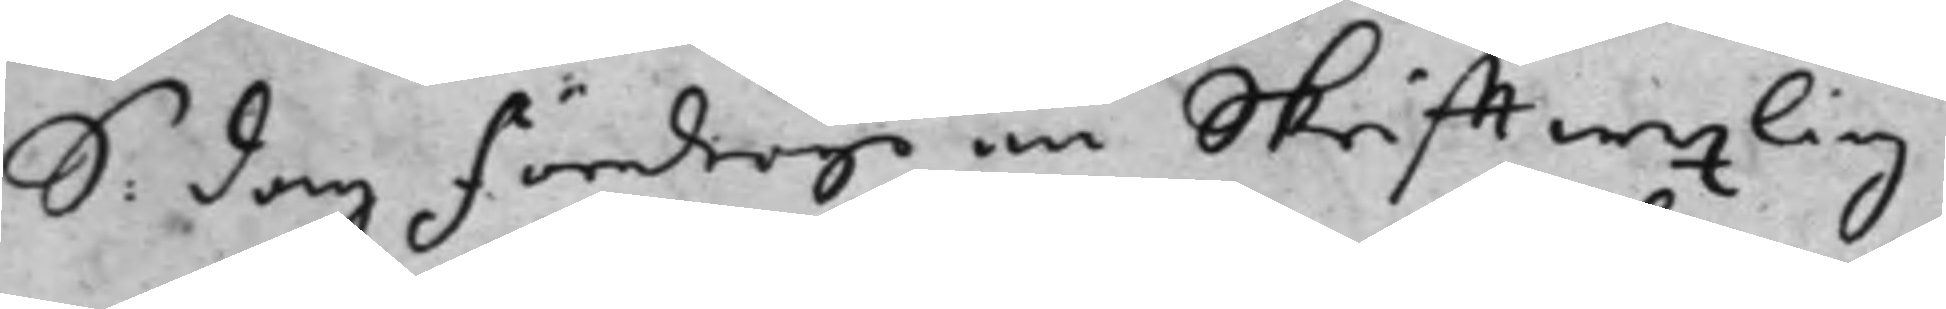S: dag Föredrogs en Skrifftwexling
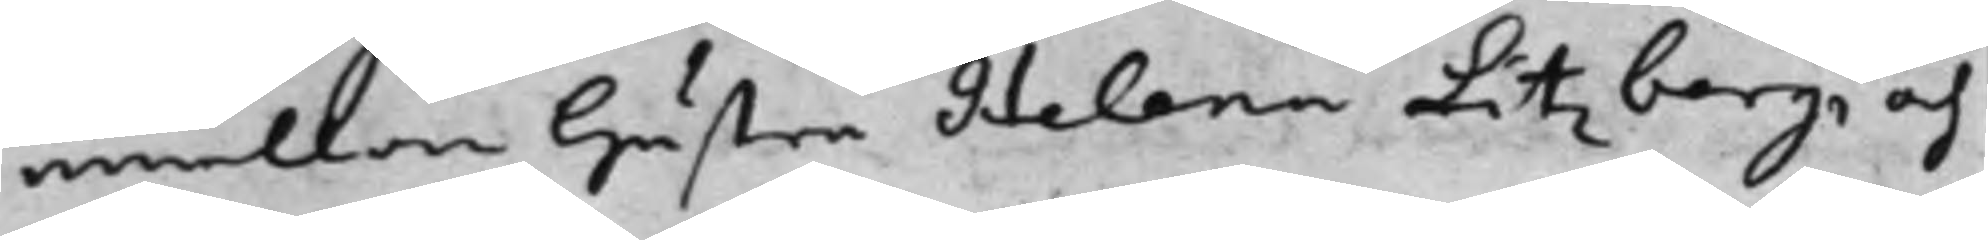emellan hustru Helena Litzberg, och
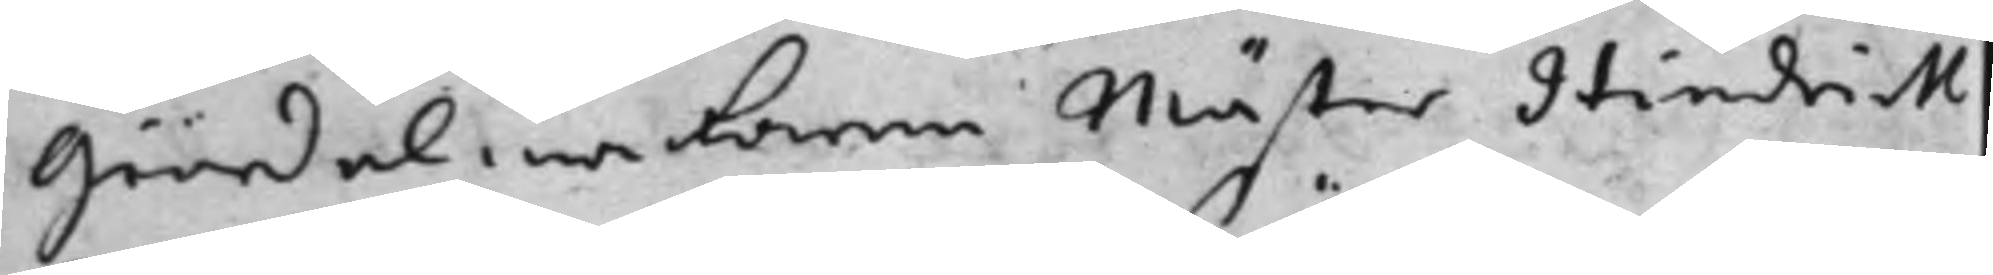Giördelmakaren Mäster Hindrik
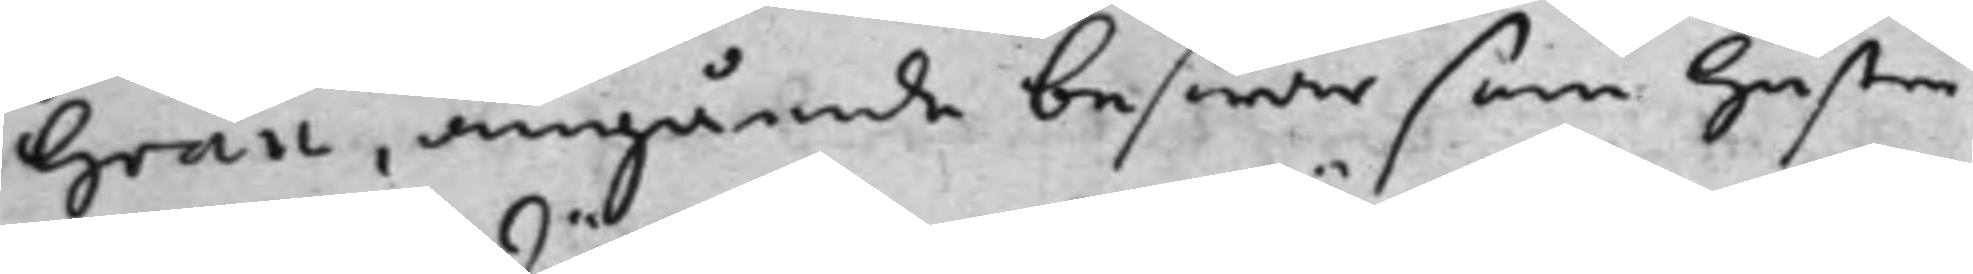Grau, angående beswär som hustru
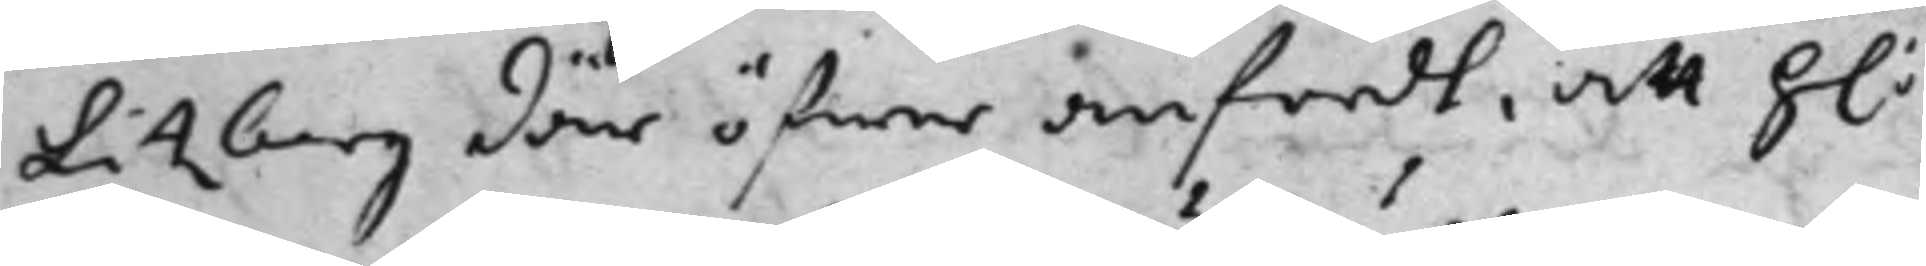Litzberg där öfwer anfördt, att h:
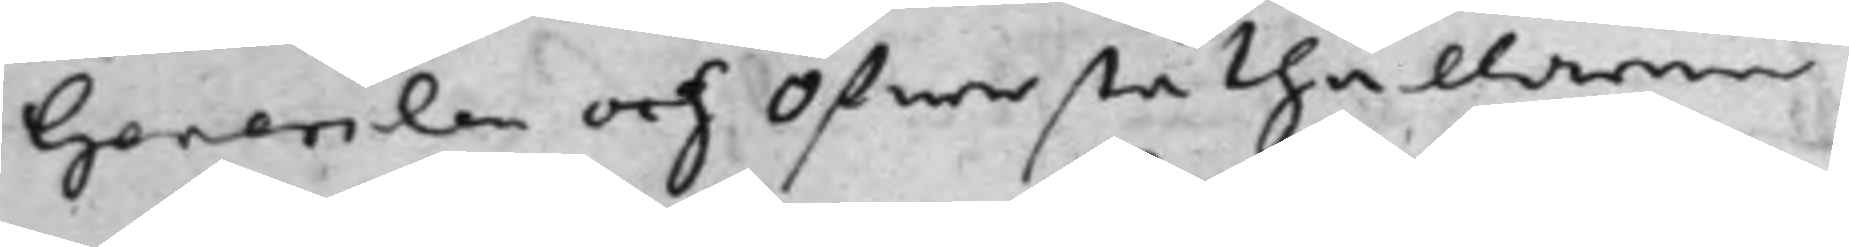Generalen och Öfwerståthållaren
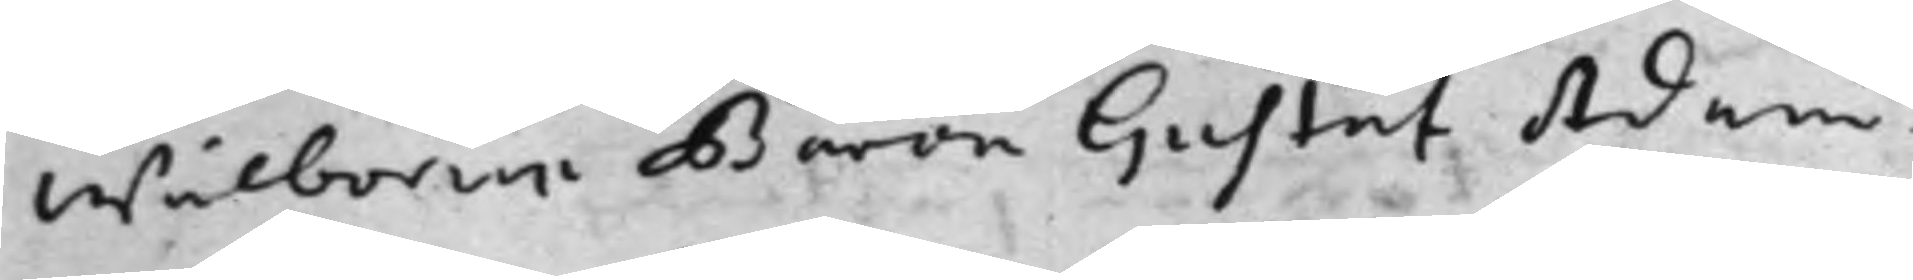Wälborne Baron Gustaf Adam
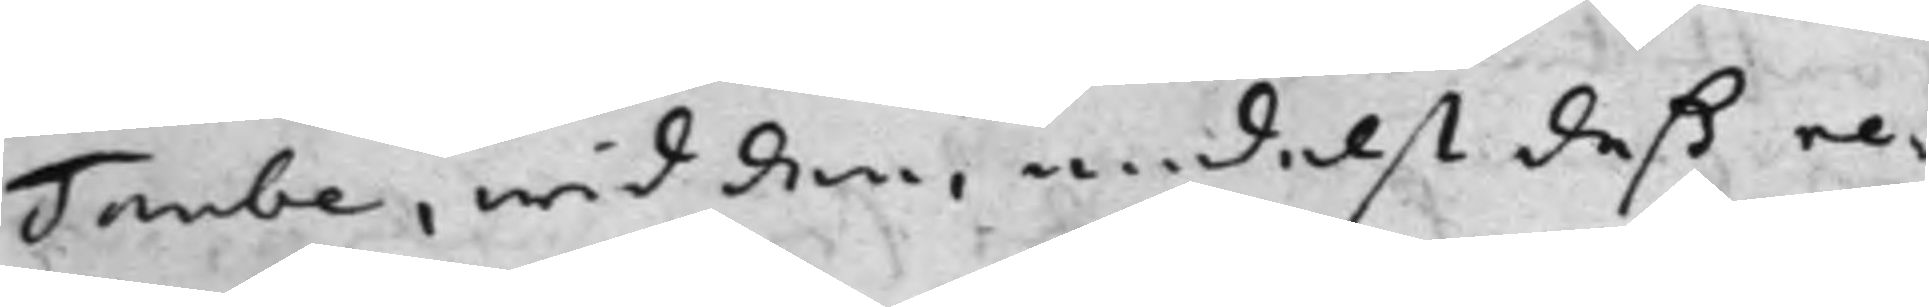Taube, wid den, medelst deß re¬
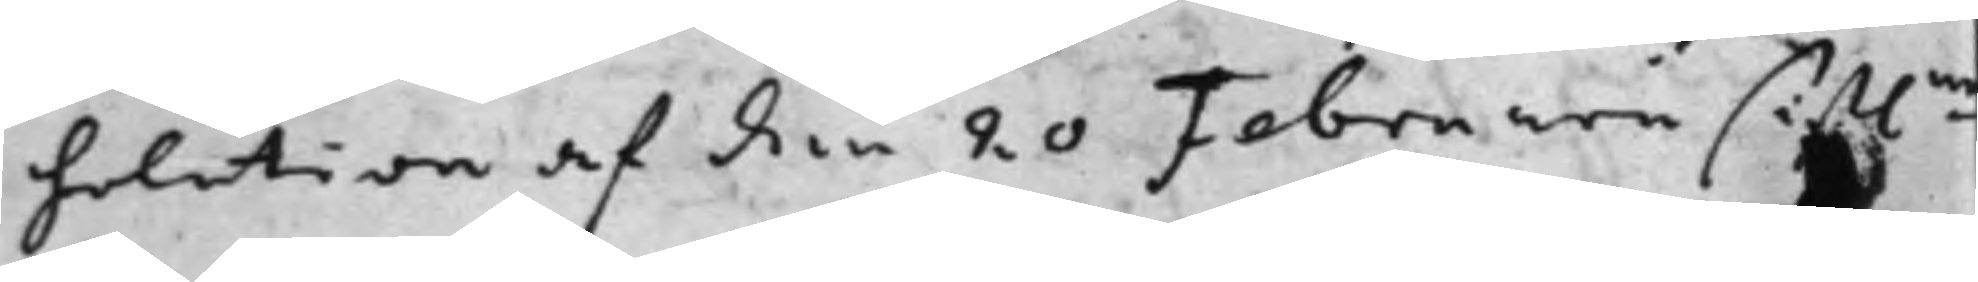solution af den 20 Februarii sistl.ne
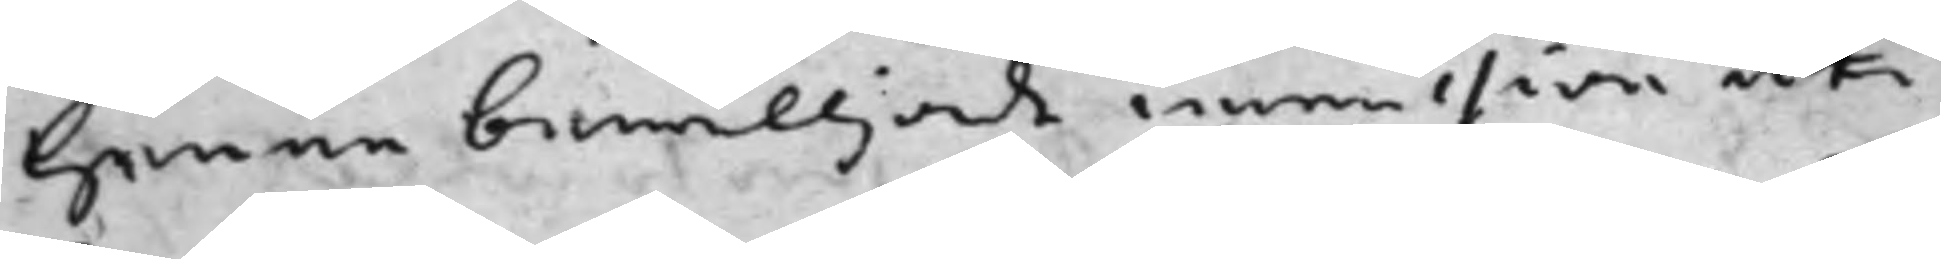henne bewilljade immission uti
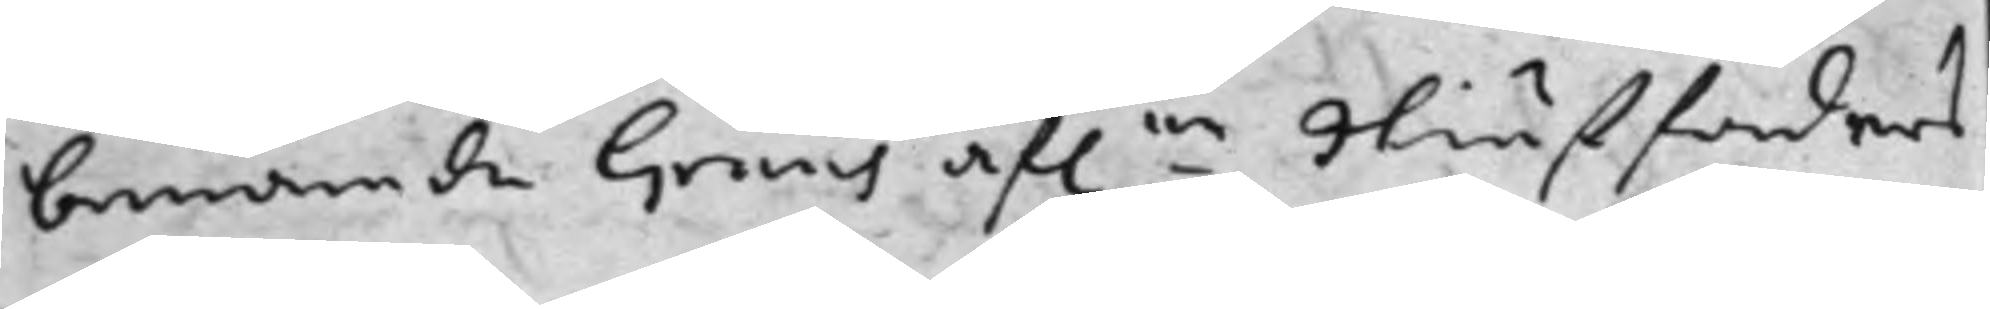benämde Graus af.ne Stiuffaders
